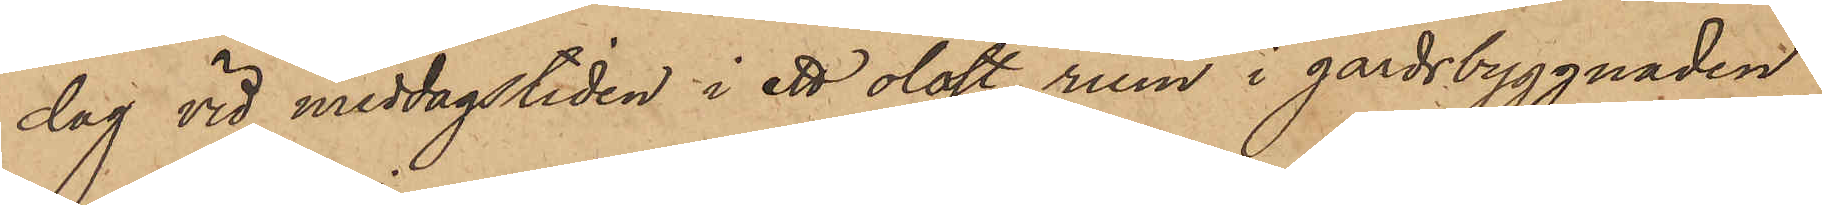dag vid middagstiden i ett olåst rum i gårdsbyggnaden
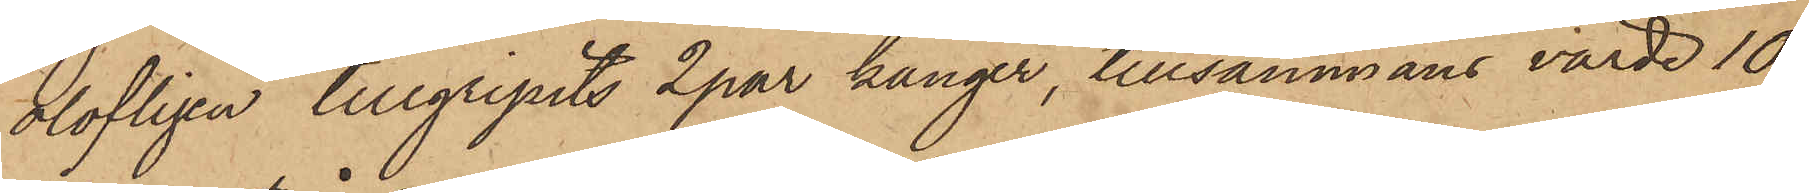olofligen tillgripits 2 par känger, tillsammans värde 10
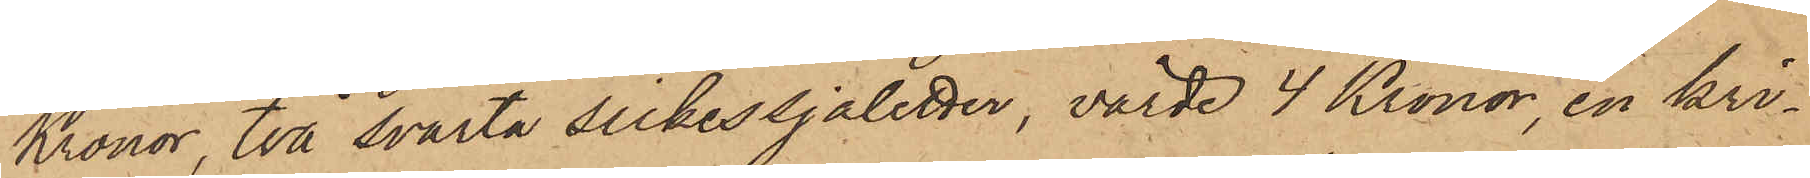Kronor, två svarta silkessjaletter, värde 4 Kronor, en kri¬
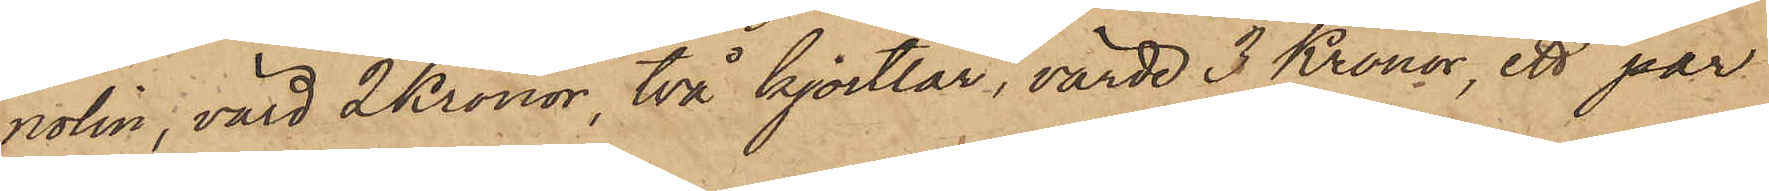nolin, värd 2 Kronor, två kjortlar, värde 3 Kronor, ett par
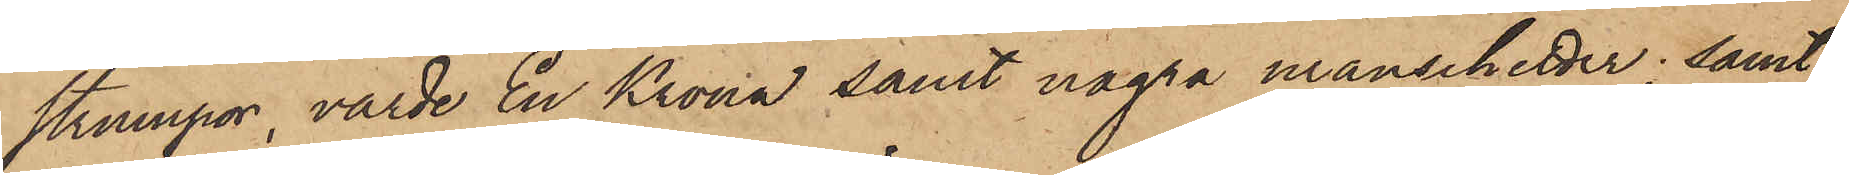strumpor, värde En Krona samt några manschetter; samt
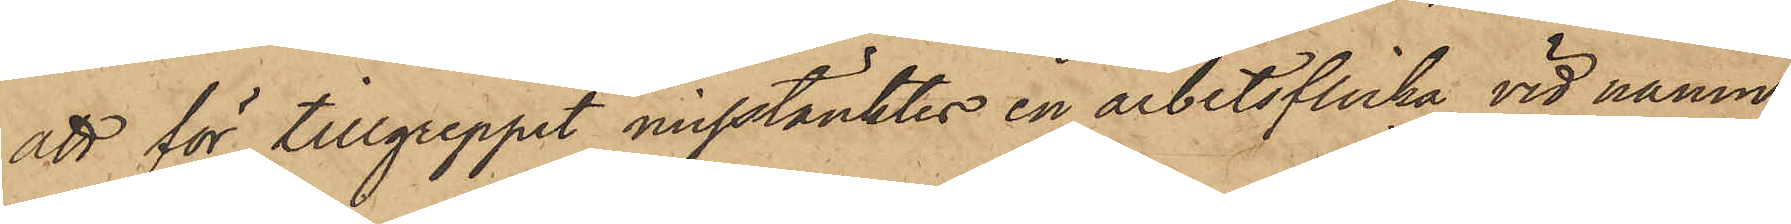att för tillgreppet misstänktes en arbetsflicka vid namn
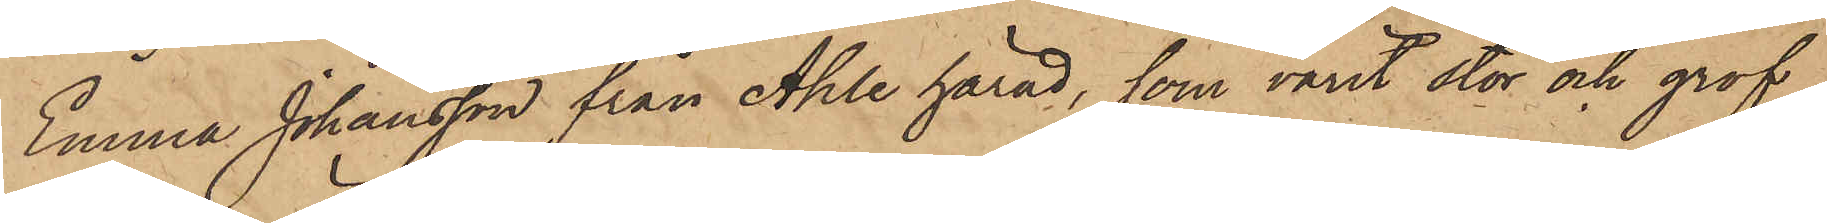Emma Johansson från Ahle härad, som varit stor och grof
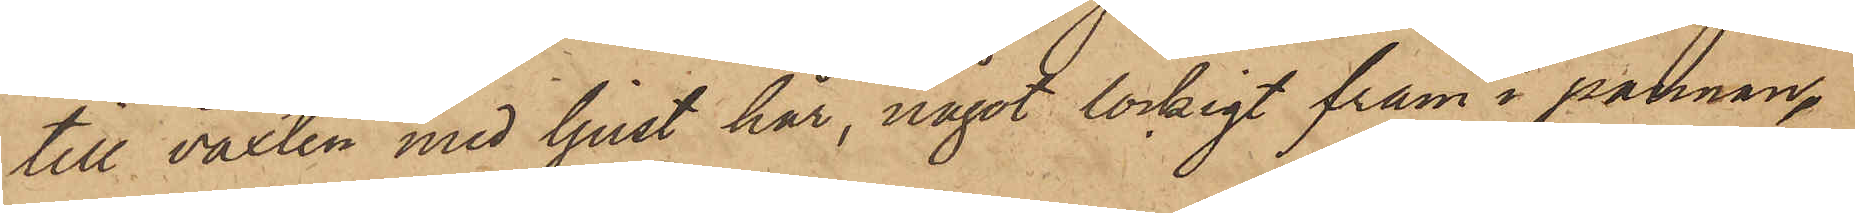till växten med ljust hår, något lockigt fram i pannan,
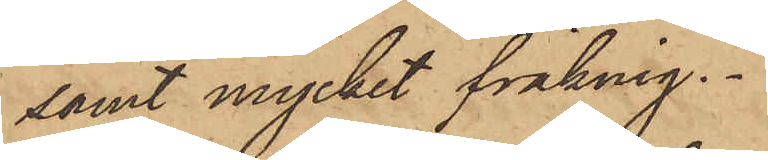samt mycket fräknig.
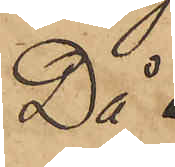Då
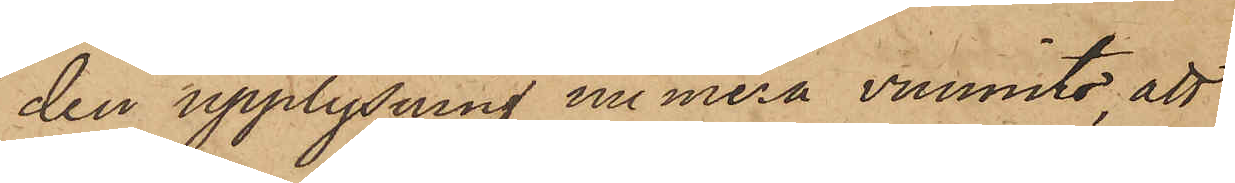den upplysning numera vunnits, att
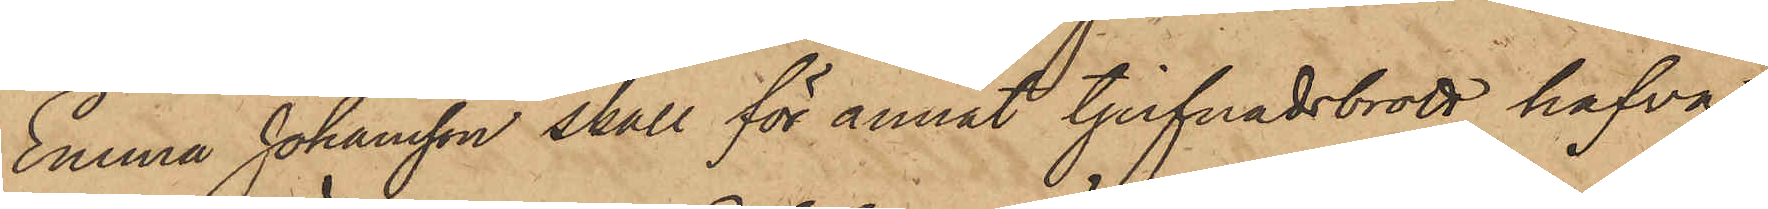Emma Johansson skall för annat tjufnadsbrott hafva
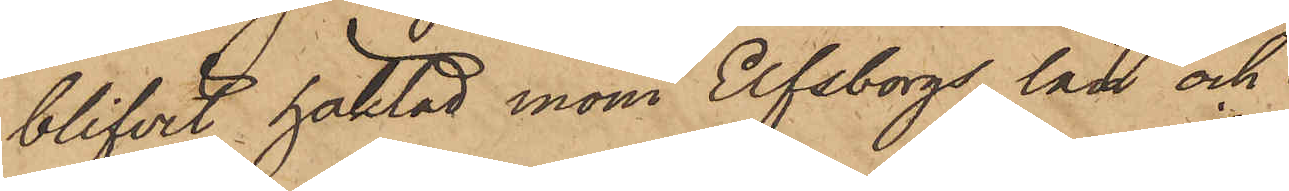blifvit häktad inom Elfsborgs län och
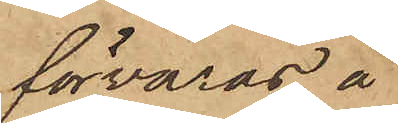förvaras å
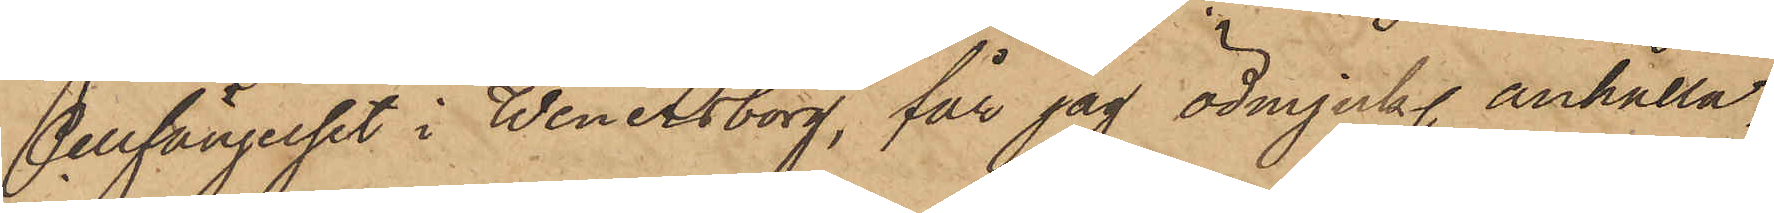Cellfängelset i Wenersborg, får jag ödmjukl. anhålla,
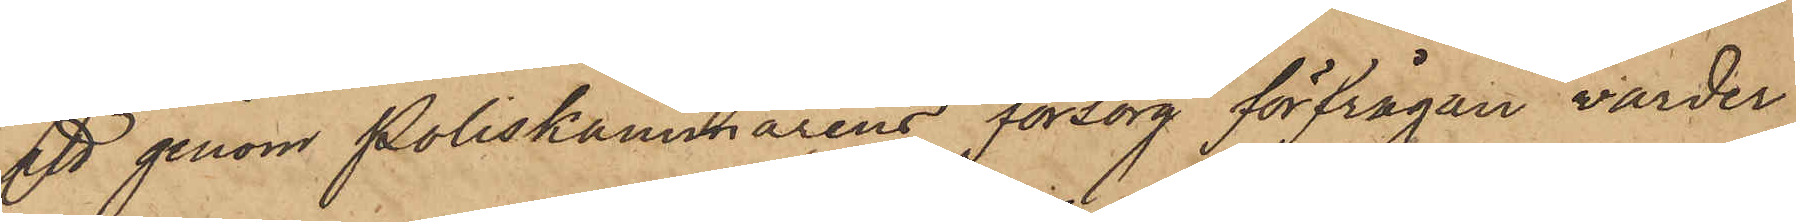att genom Poliskammarens försorg förfrågan varder
